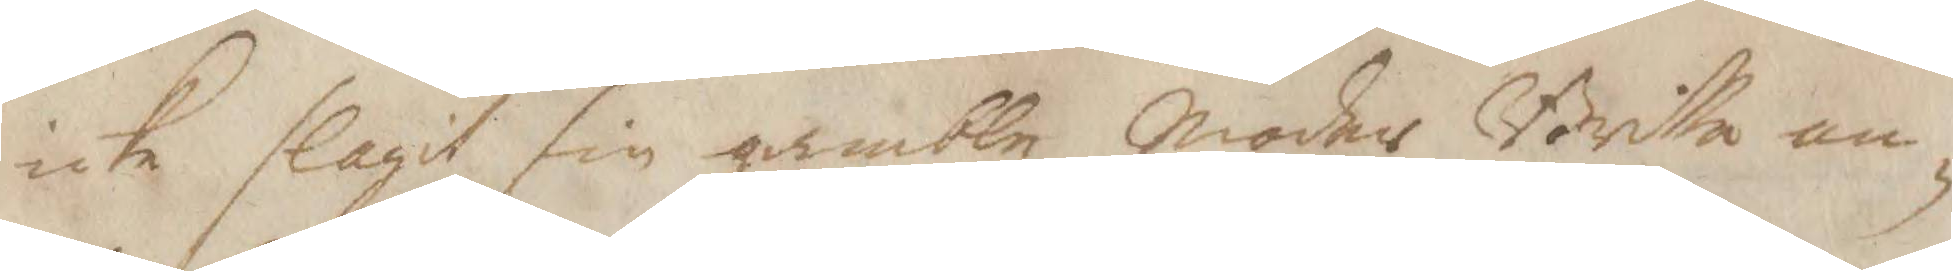icke slagit sin gamble Moder Britta an¬
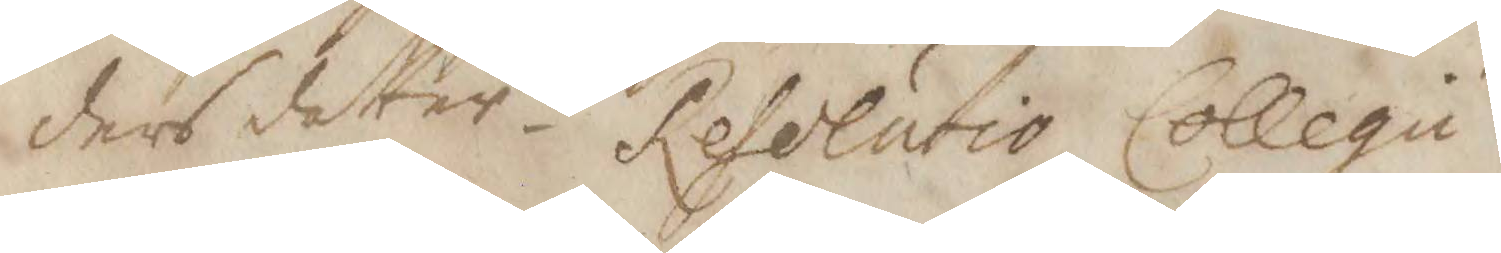ders dotter. Resolutio Collegii
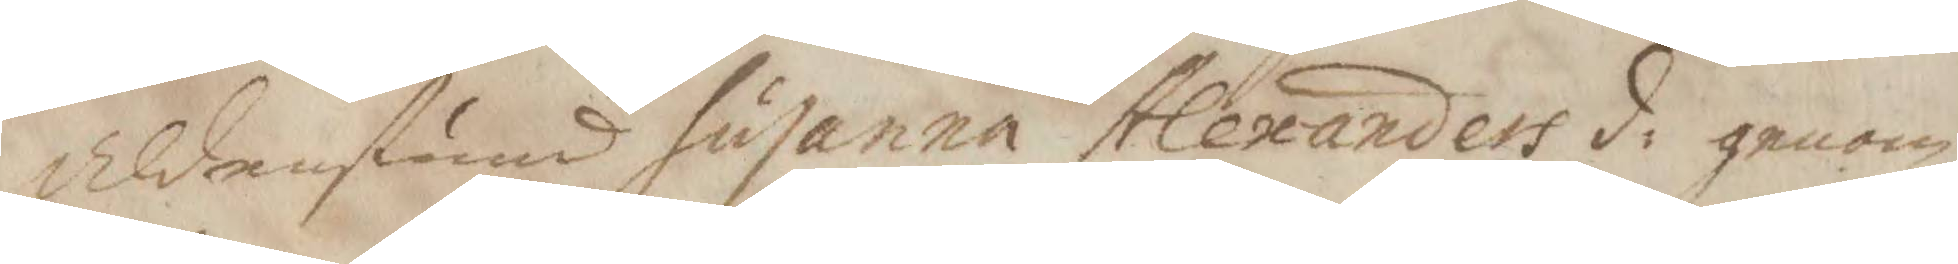Aldenstund susanna Alexandersd: genom
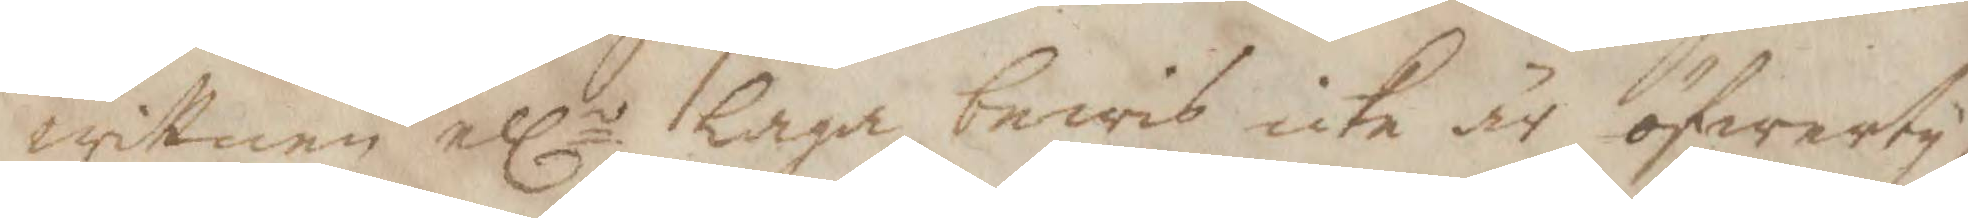wittnen ellr laga bewis icke är öfwerty¬
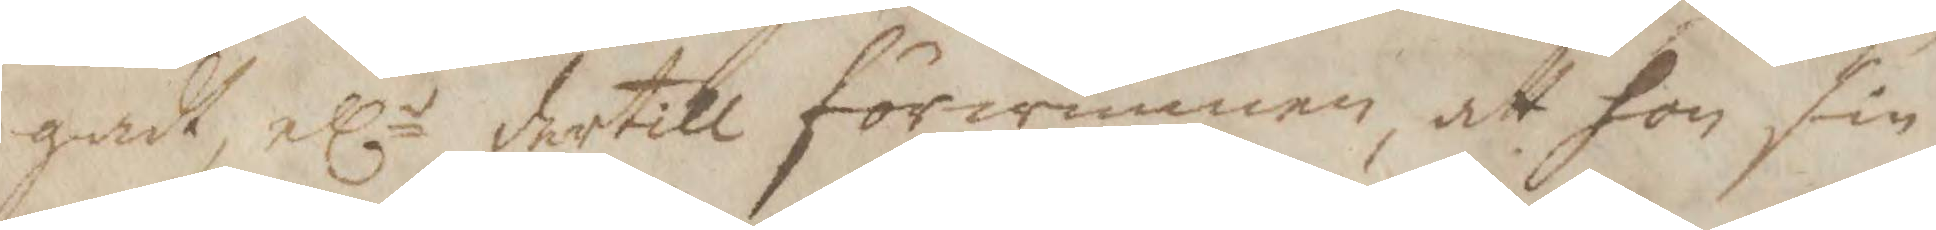gadt, ellr dertill förwunnen, att hon sin
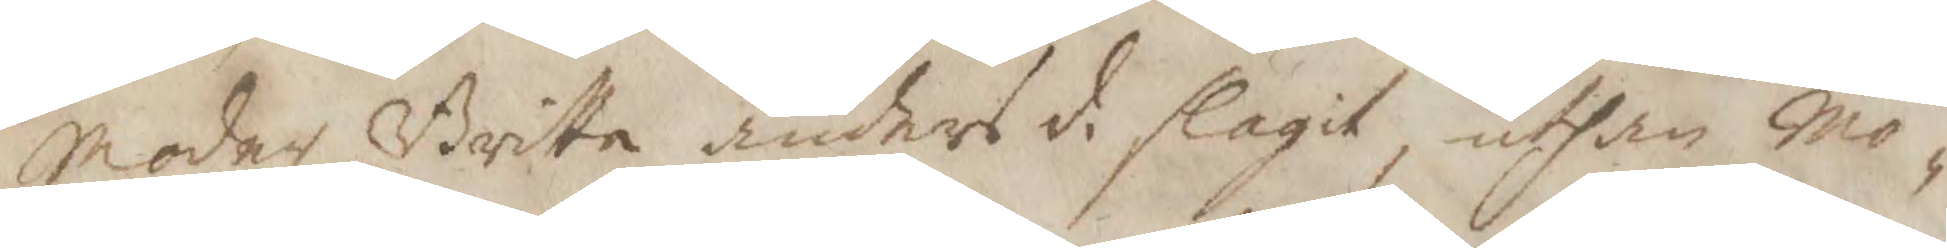Moder Britta anders d: slagit, uthan Mo¬
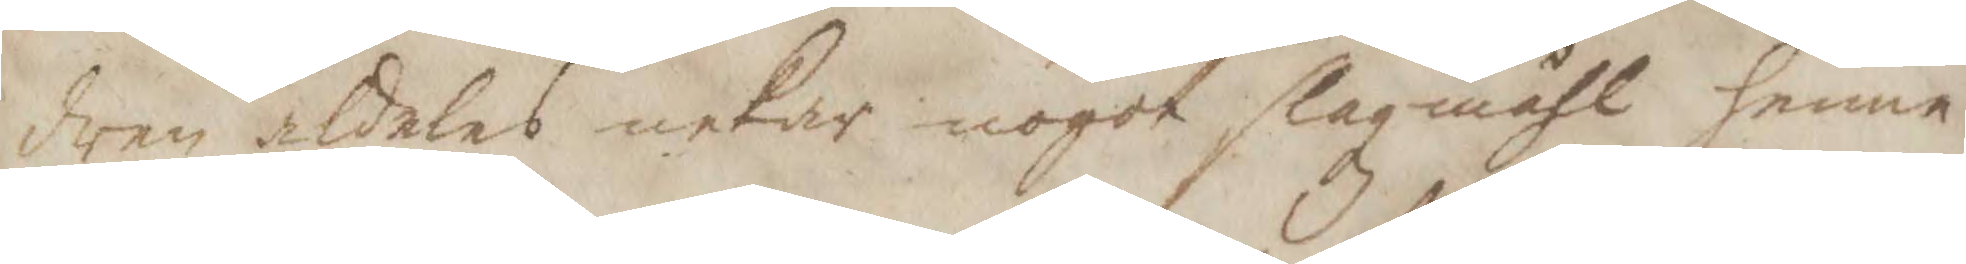dren aldeles nekar nogot slagsmåhl henne
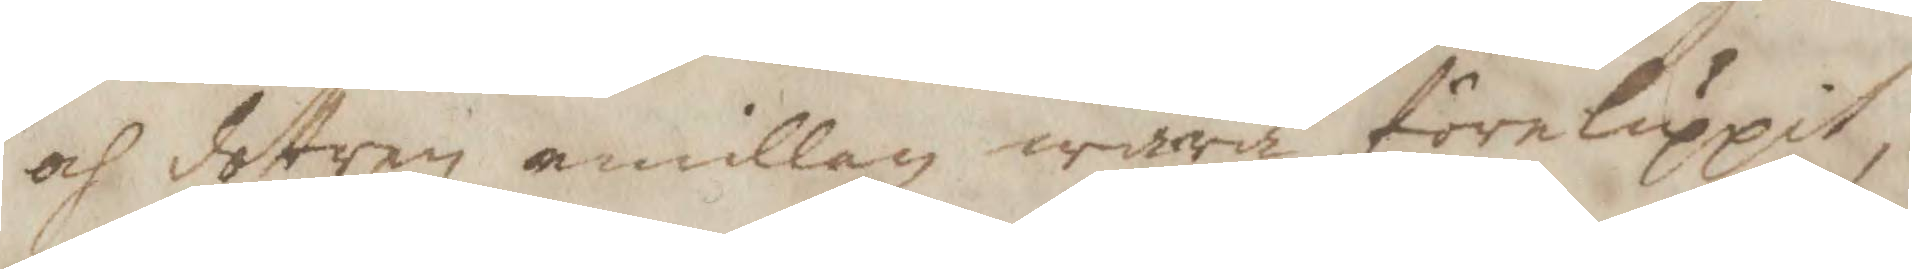och dottren emillan wara föreluppit,
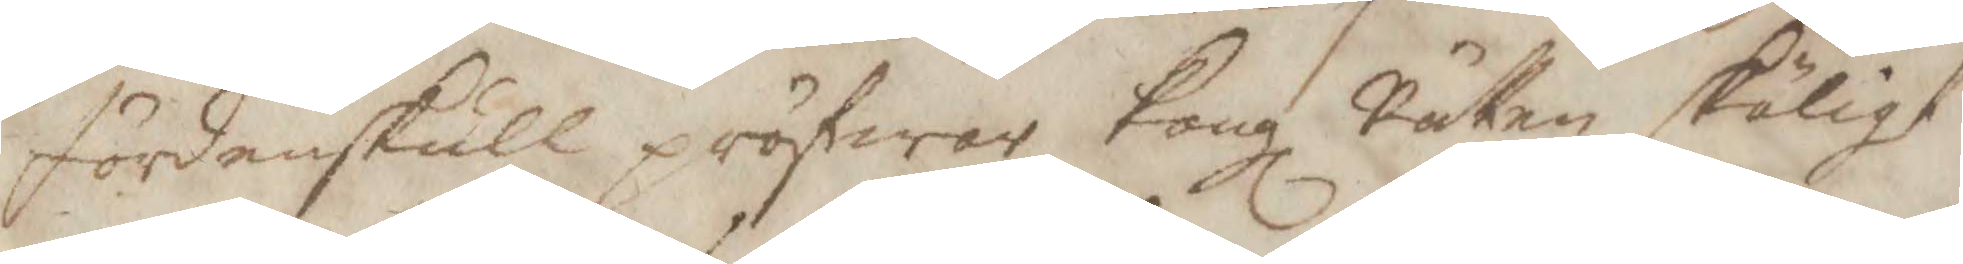fördenskull pröfwar Kongl Rätten skäligt
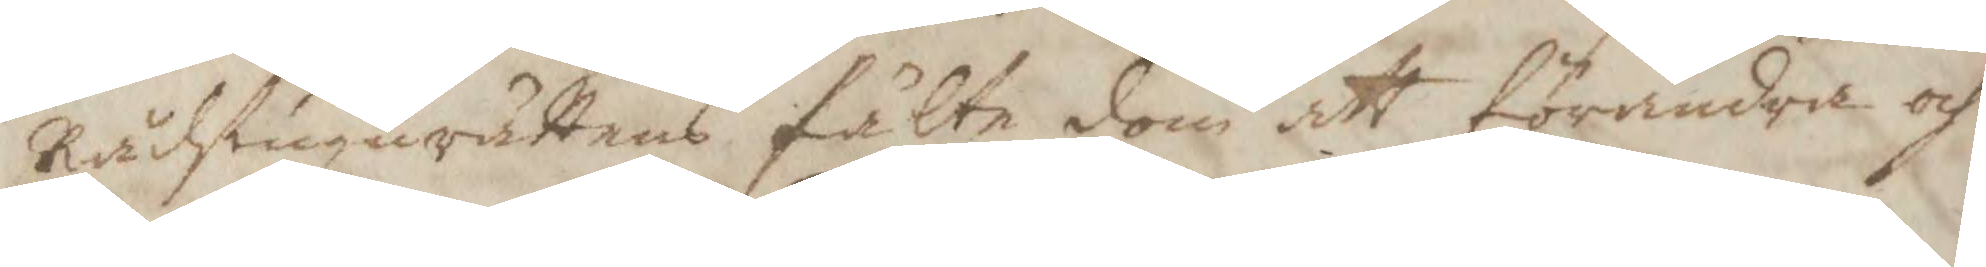Rådstugurättens fälte dom att förändra och
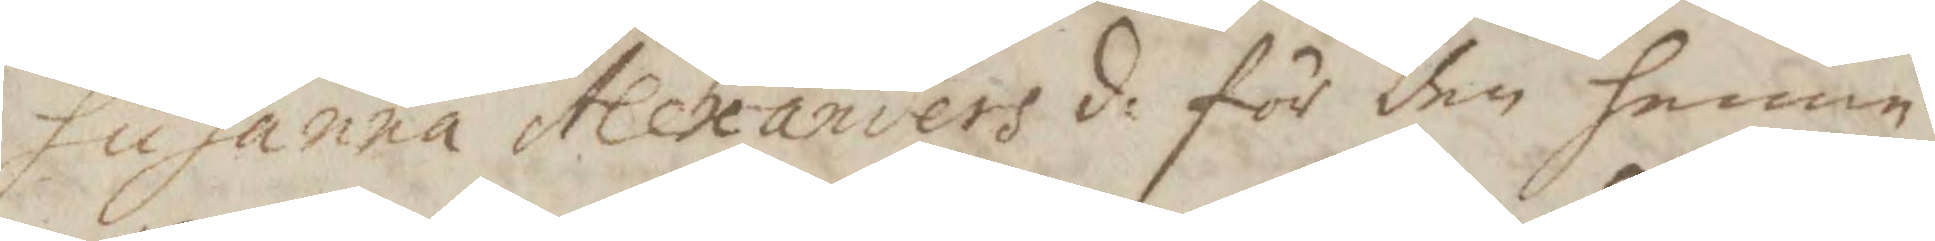Susanna Alexanders d: för den henne
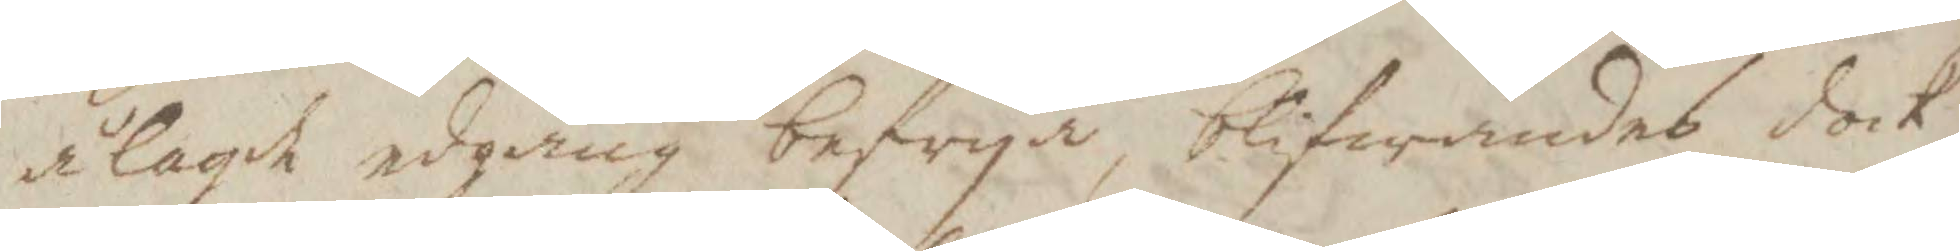ålagd edgång befrya, blifwandes dock
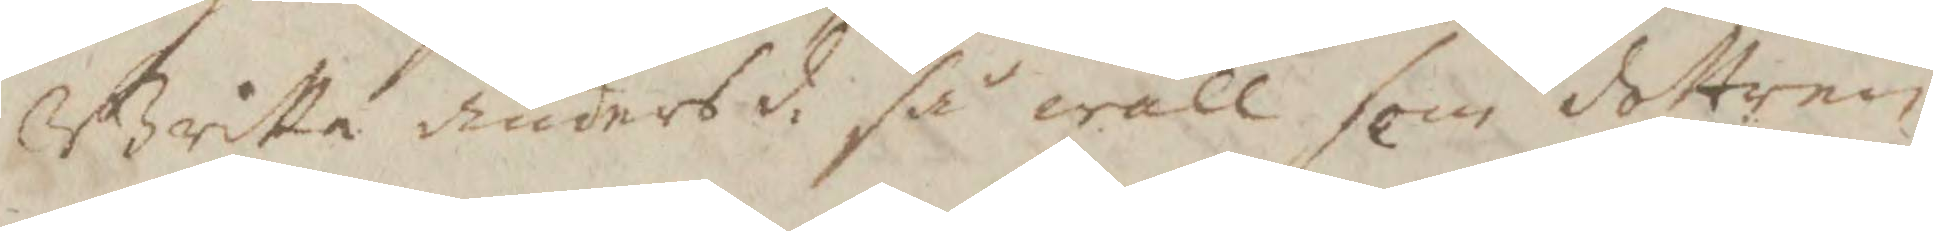Britta anders d: så wäll som dottren
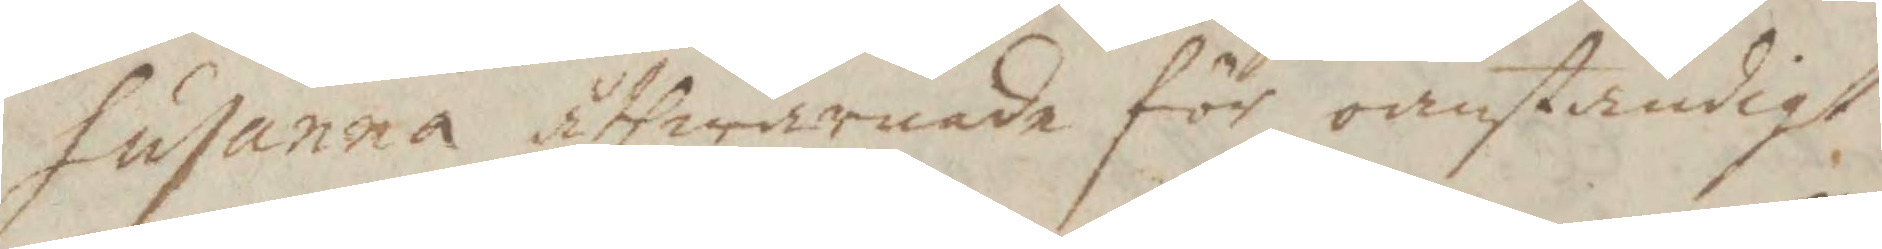Susanna åthwarande för oanständigt
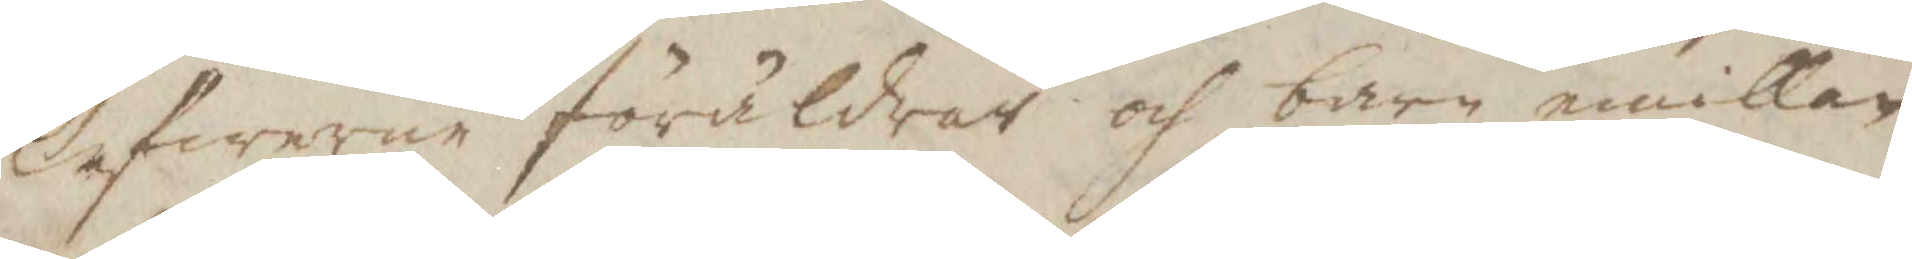Lefwerne föräldrar och barn emillan
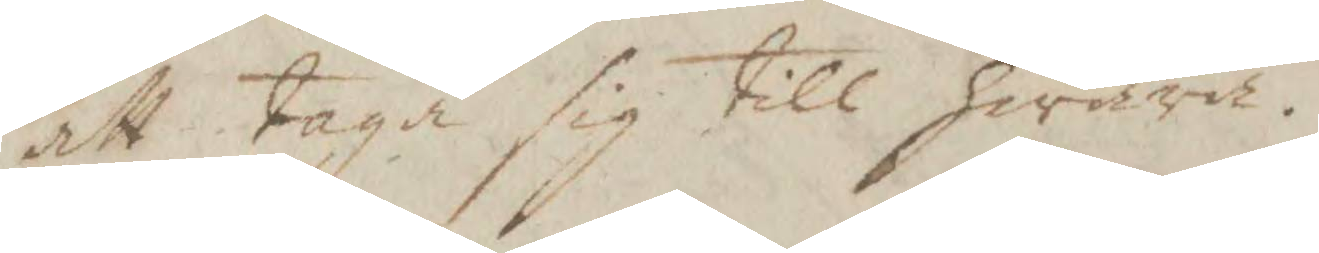att taga sig till hwara.
